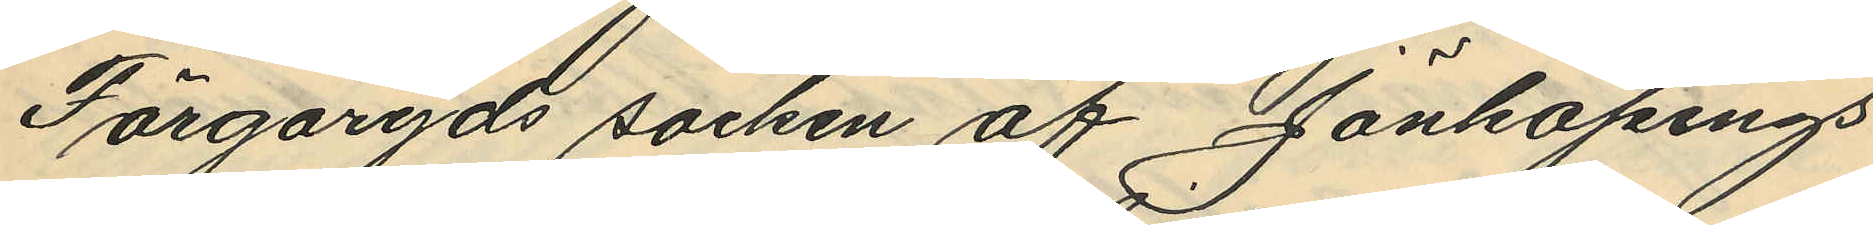Färgaryds socken af Jönköpings
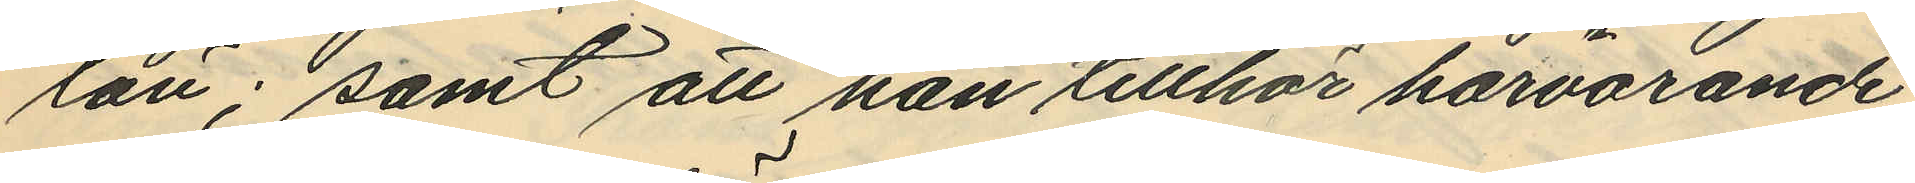län; samt att han tillhör härvarande
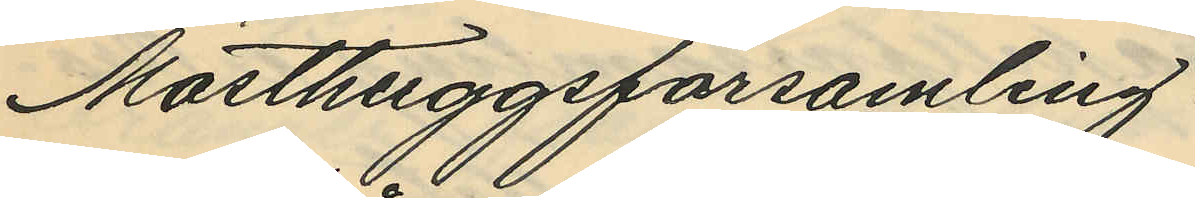Masthuggsförsamling
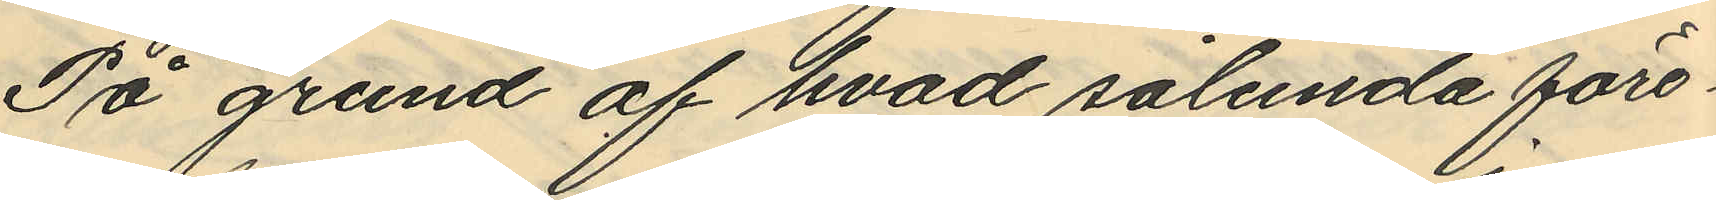På grund af hvad sålunda före¬
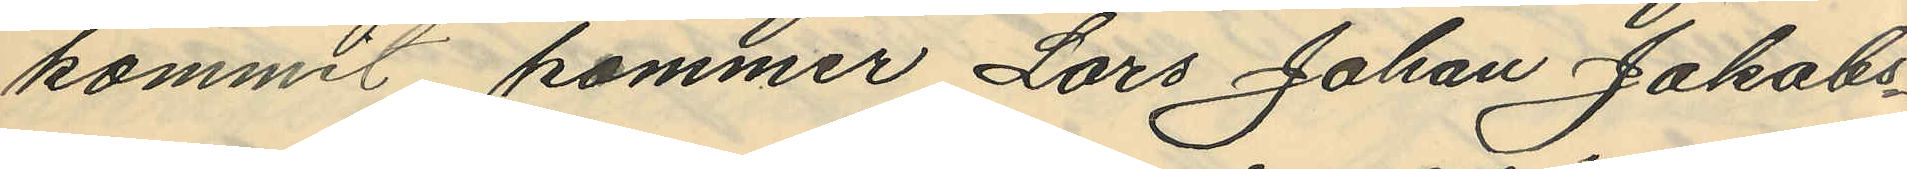kommit kommer Lars Johan Jakobs¬
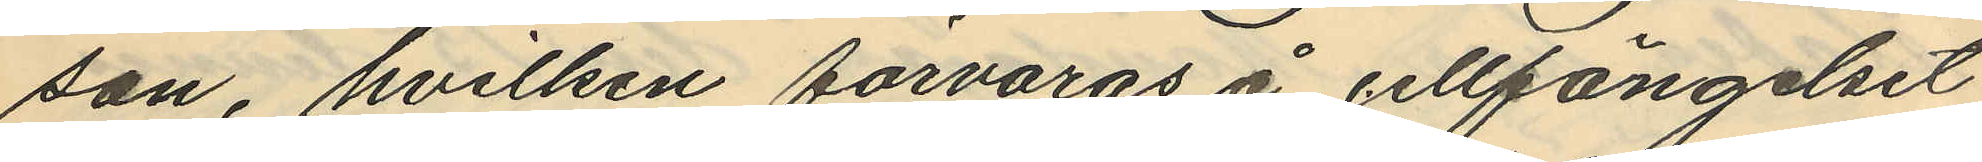son, hvilken förvaras å cellfängelset
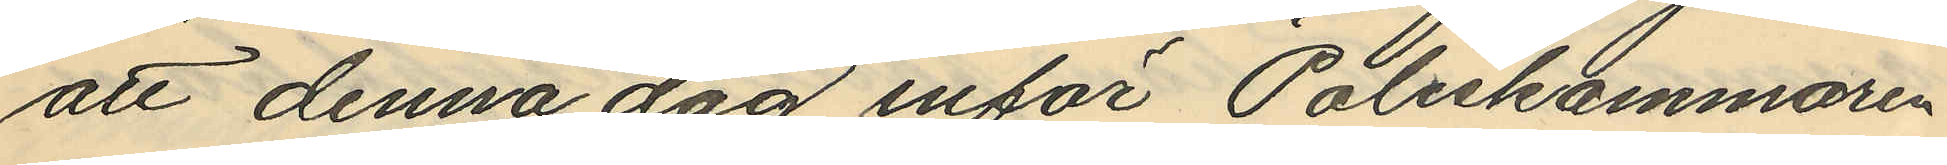att denna dag inför Poliskammaren
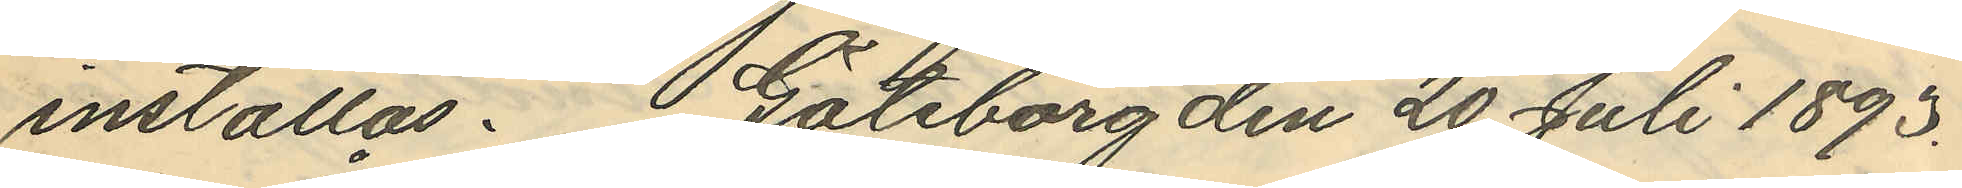inställas. Göteborg den 20 Juli 1893.
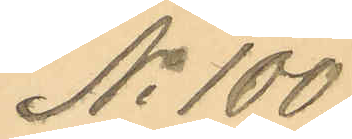No 100.
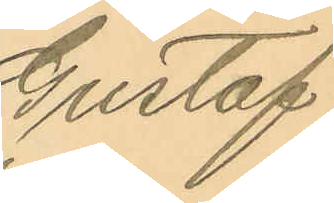Gustaf
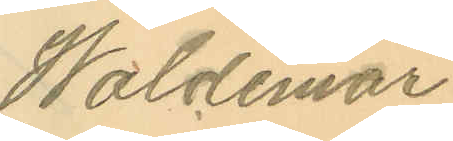Waldemar
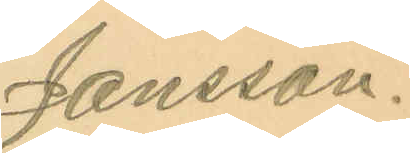Jansson.
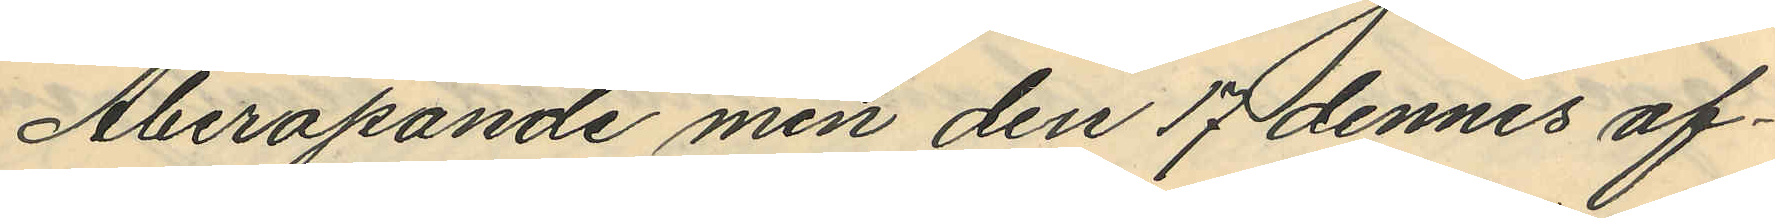Åberopande min den 17 dennes af¬
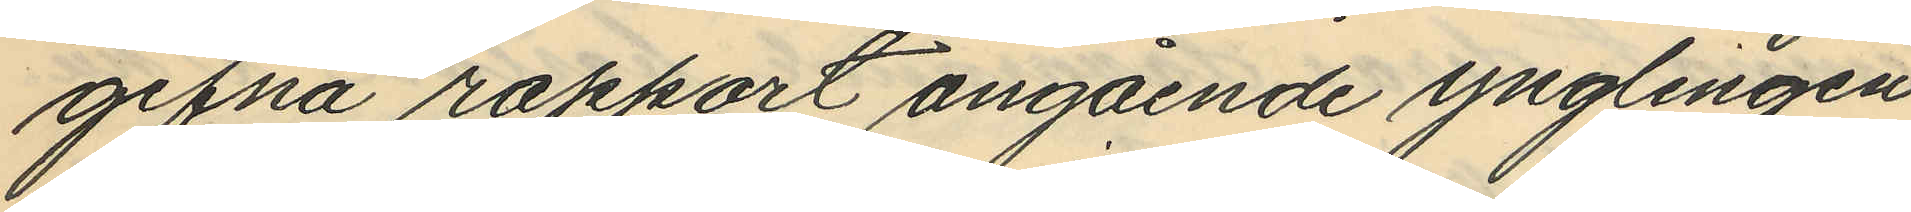gifna rapport angående ynglingen
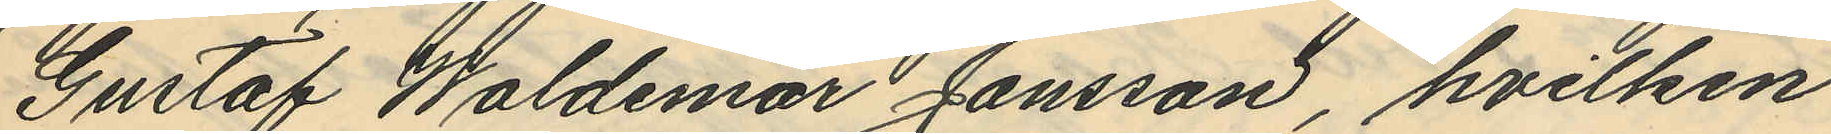Gustaf Waldemar Jansson, hvilken
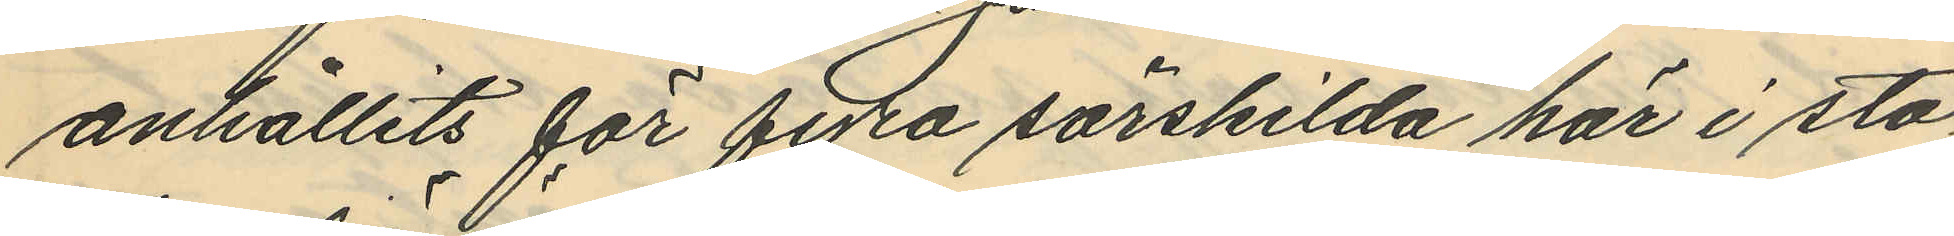anhållits för fyra särskilda här i sta¬
